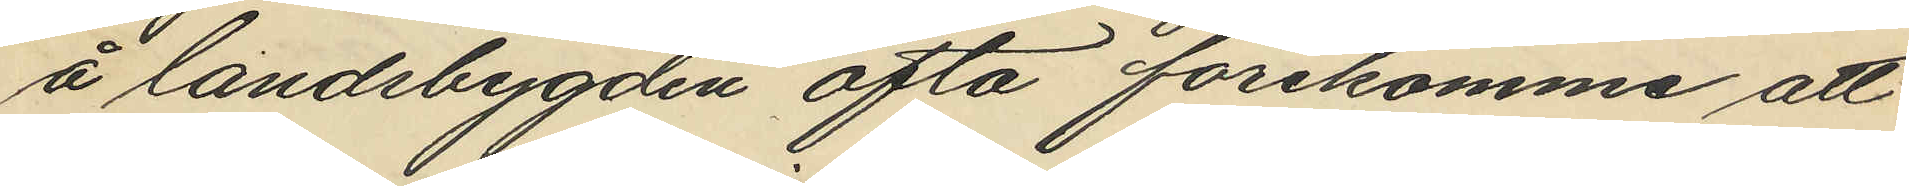å landsbygden ofta förekomme att
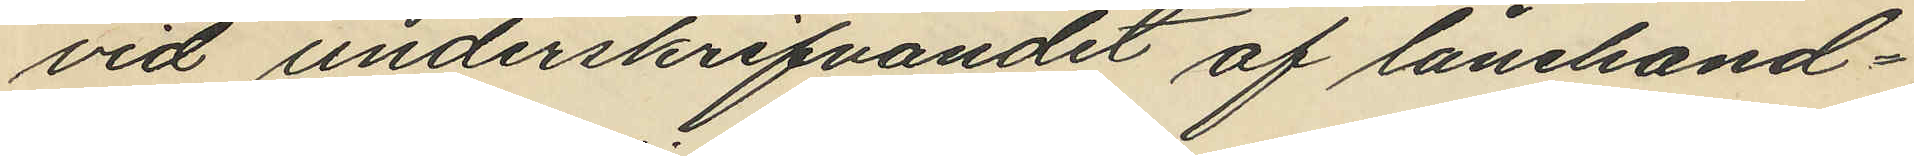vid underskrifvandet af lånehand¬
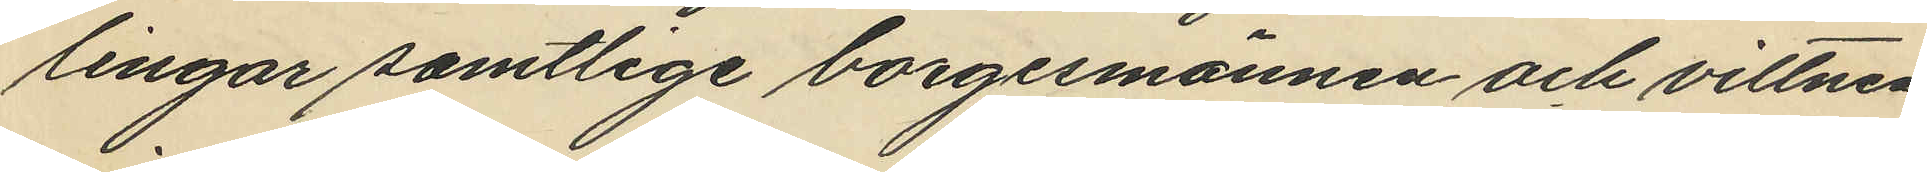lingar samtlige borgesmannen och vittnen
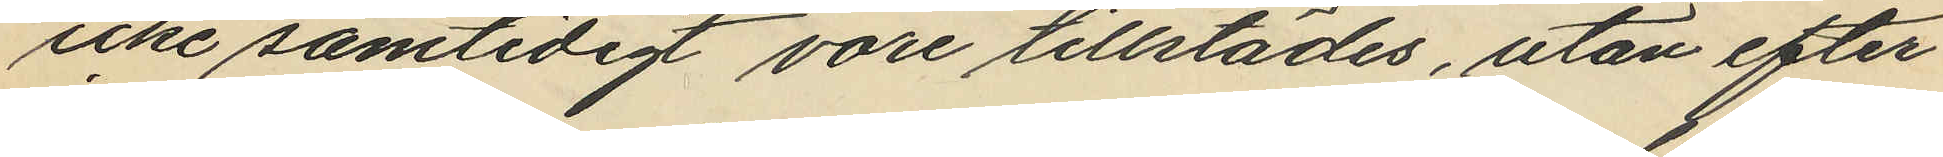icke samtidigt vore tillstädes, utan efter
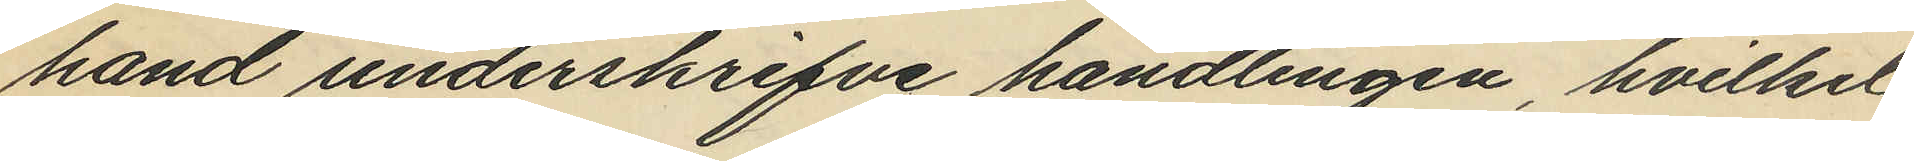hand underskrifve handlingen, hvilket
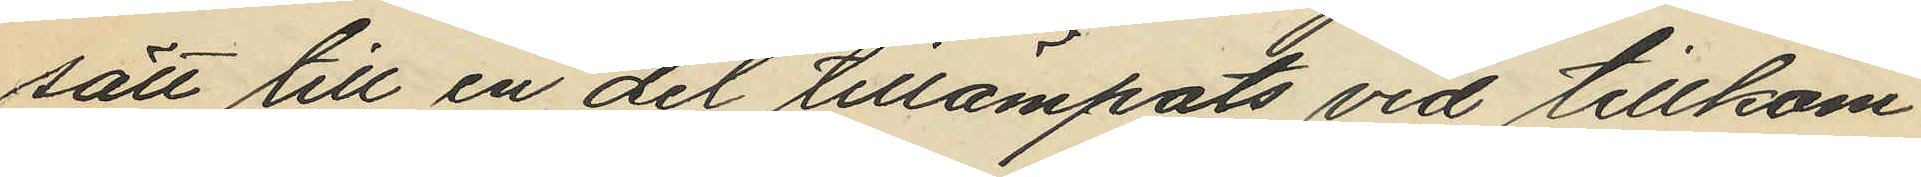sätt till en del tillämpats vid tillkom¬
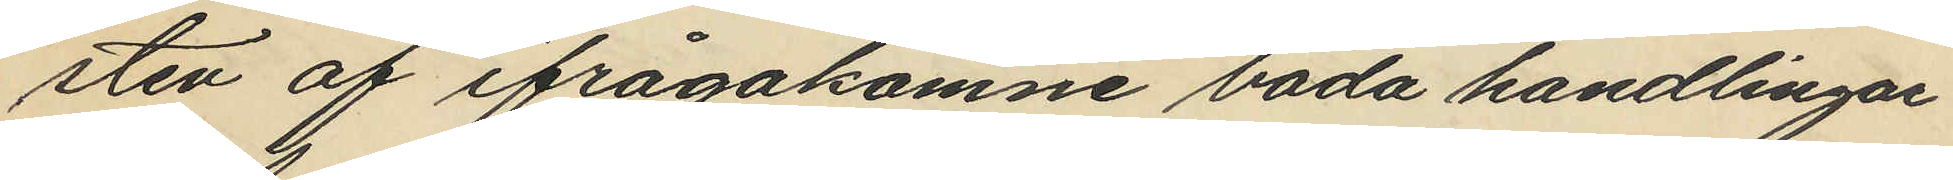sten af ifrågakomne båda handlingar
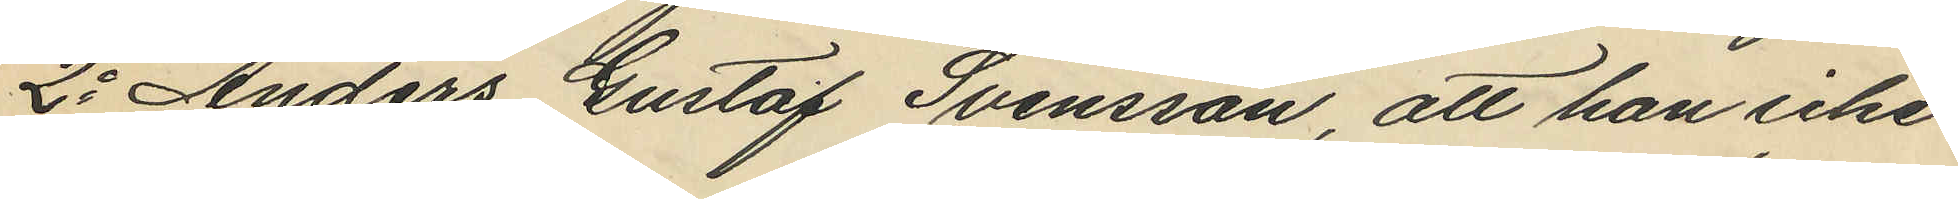2o Anders Gustaf Svensson, att han icke
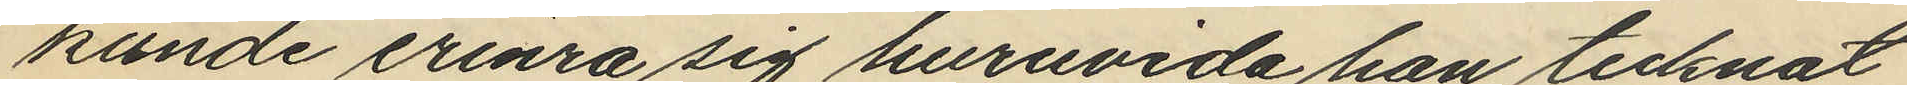kunde erinra sig huruvida han tecknat
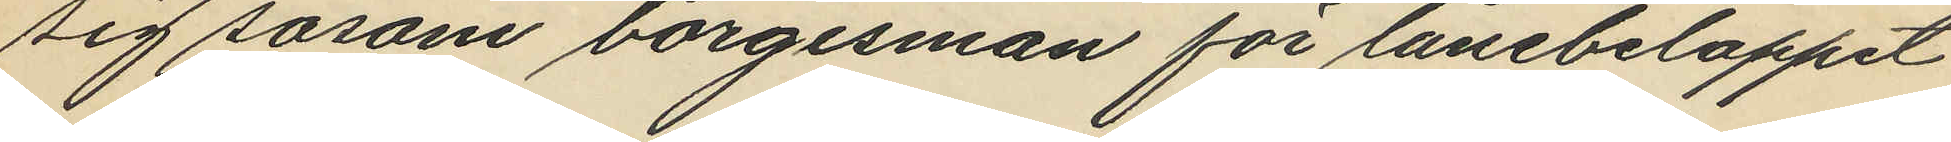sig såsom borgesman för lånebeloppet
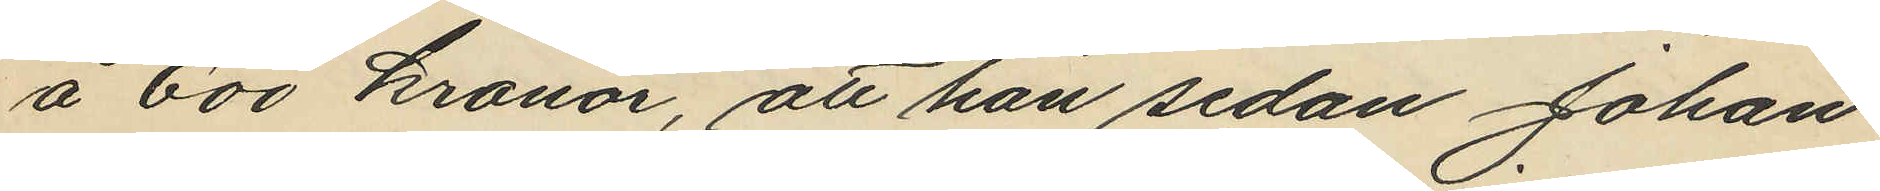å 600 kronor, att han sedan Johan
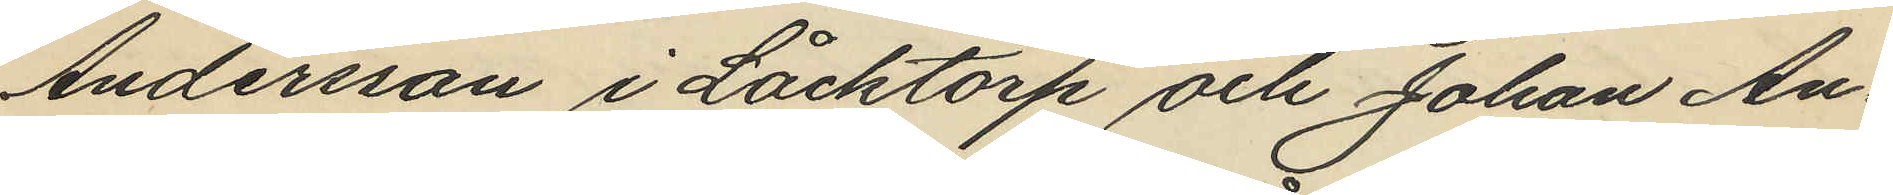Andersson i Låcktorp och Johan An¬
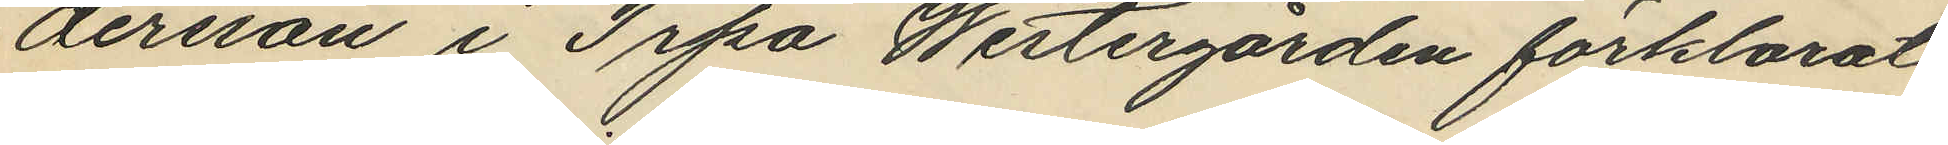dersson i Trpa Westergården förklarat
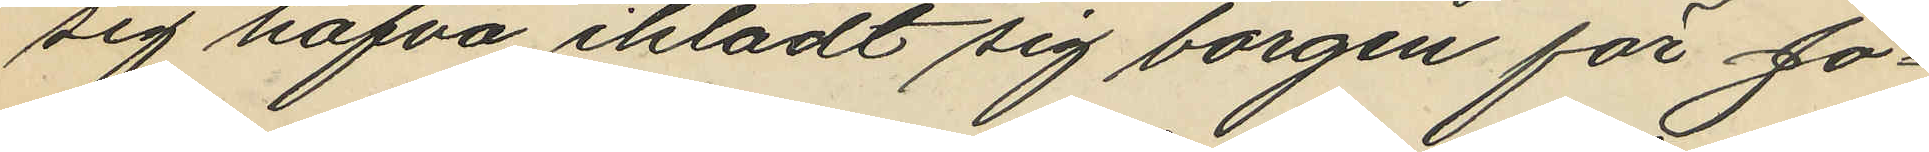sig hafva iklädt sig borgen för Jo¬
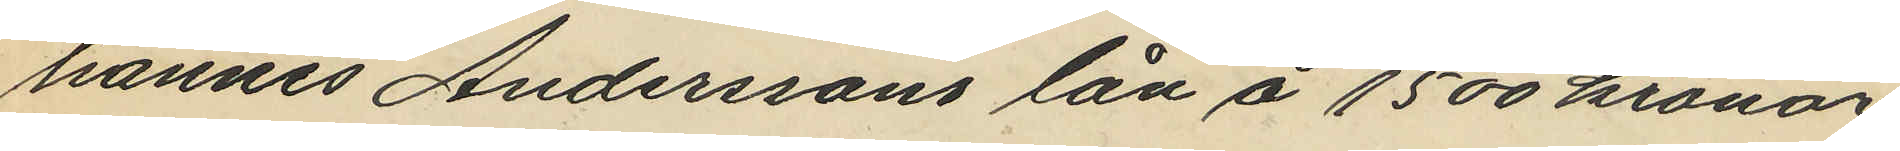hannes Anderssons lån å 1500 kronor
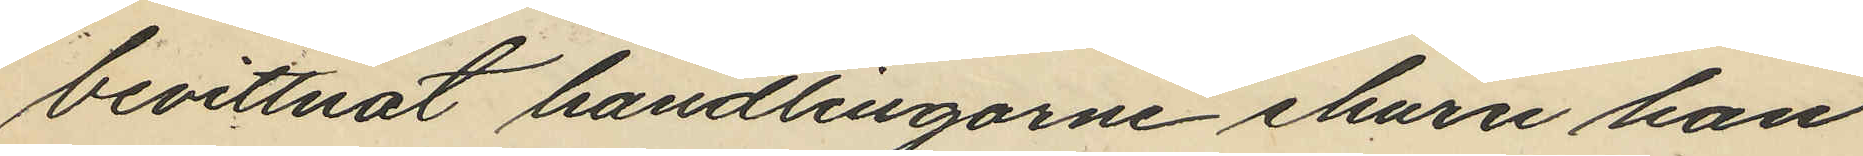bevittnat handlingarne ehuru han
